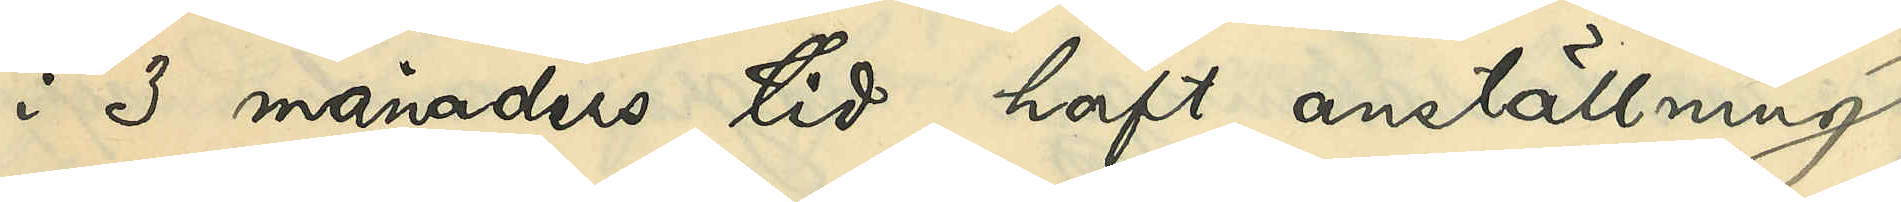i 3 månaders tid haft anställning
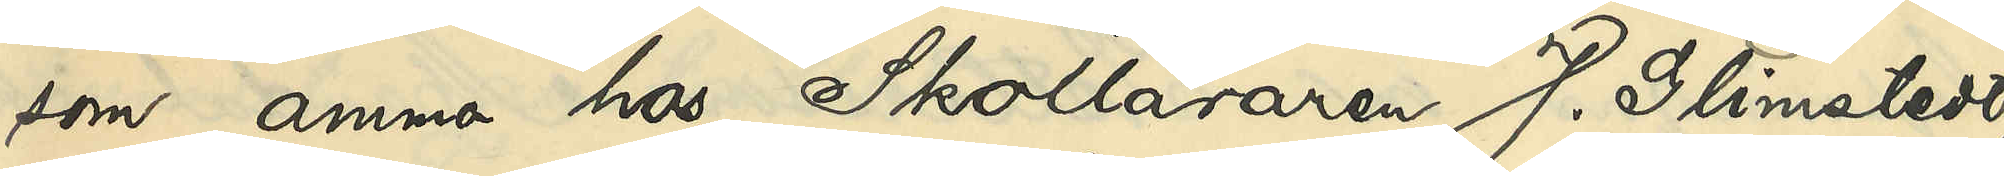som amma hos Skolläraren J. Glimstedt,
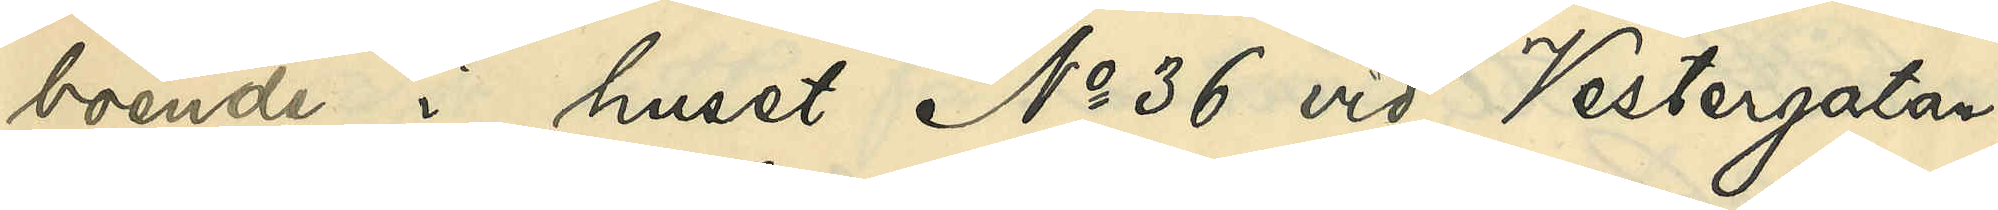boende i huset No 36 vid Vestergatan;
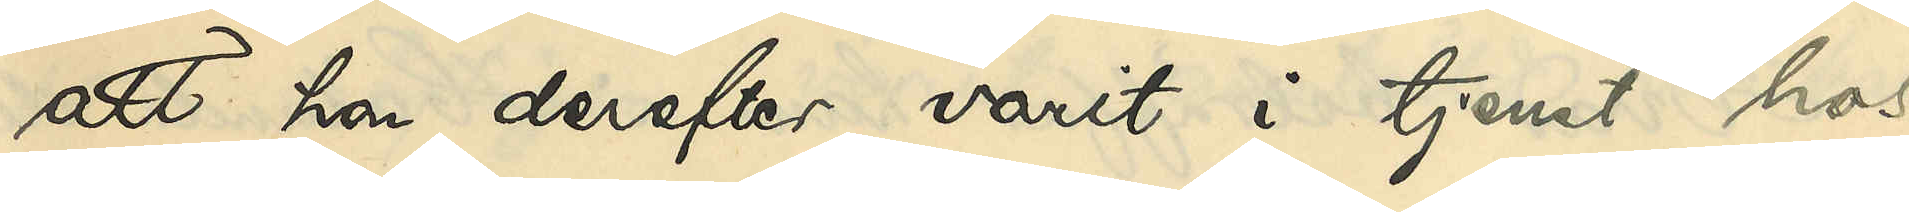att hon derefter varit i tjenst hos
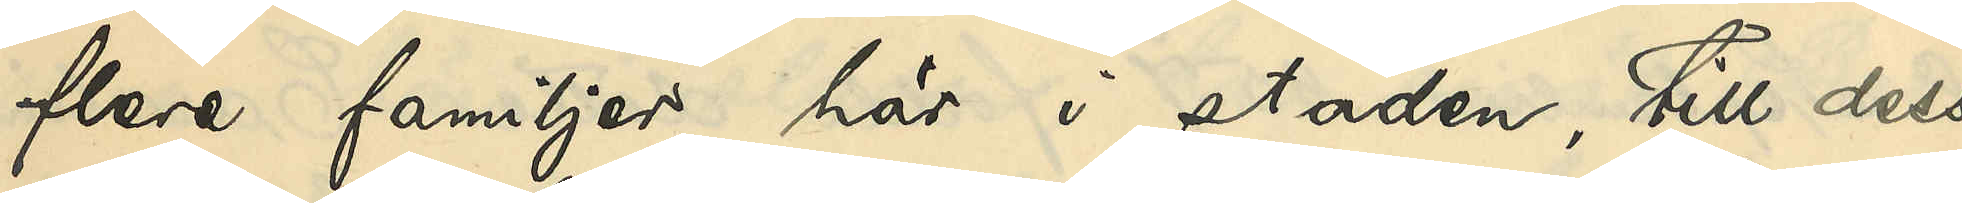flere familjer här i staden, till dess
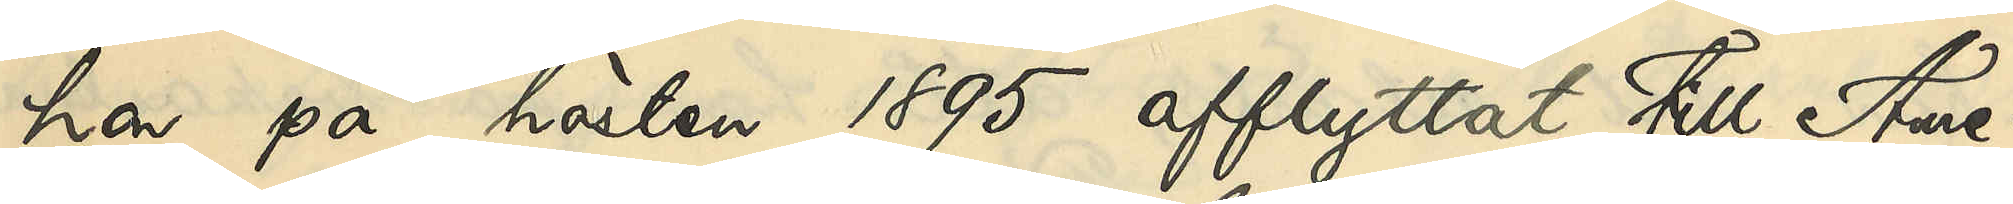hon på hösten 1895 afflyttat till Ame¬
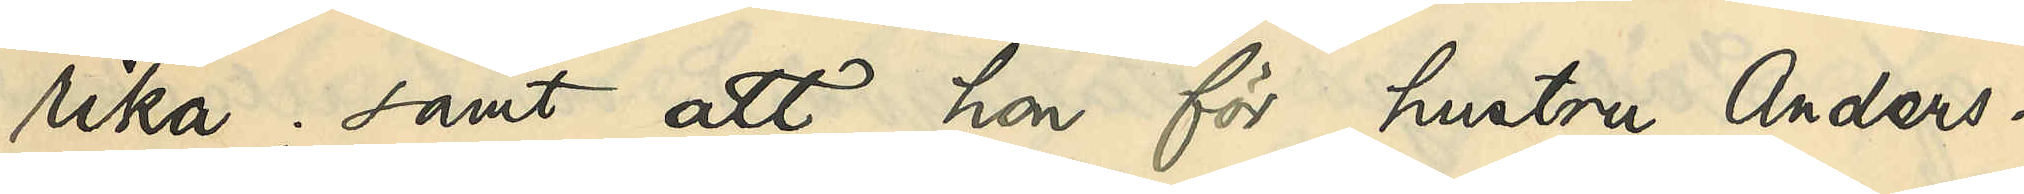rika; samt att hon för hustru Anders¬
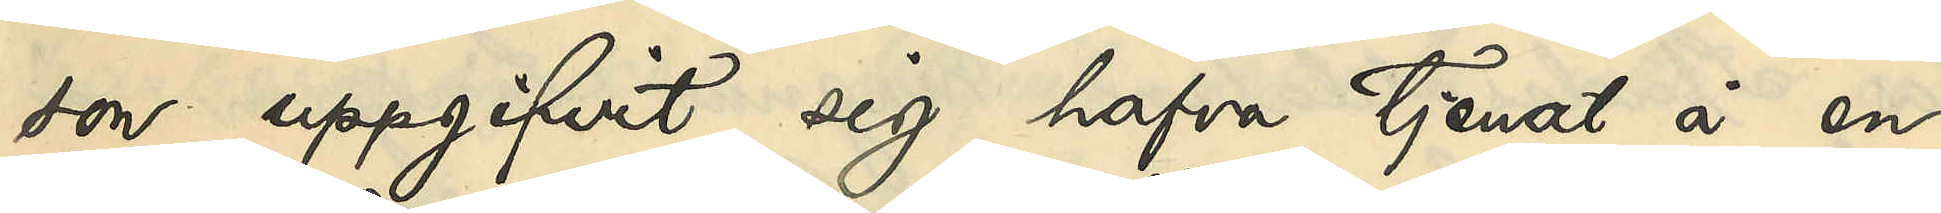son uppgifvit sig hafva tjenat å en
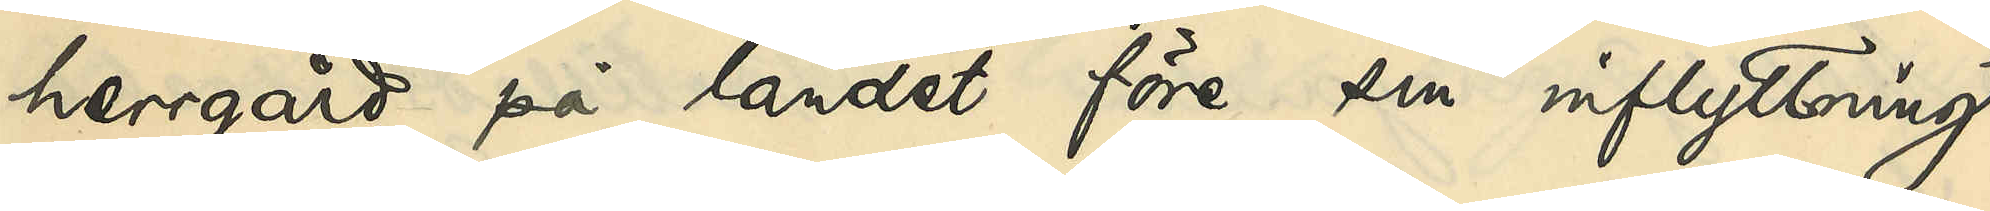herrgård på landet före sin inflyttning
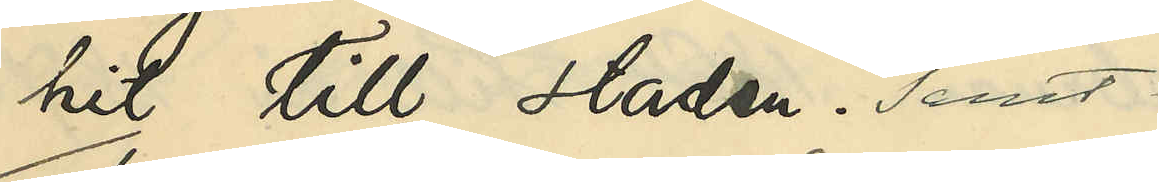hit till staden; samt
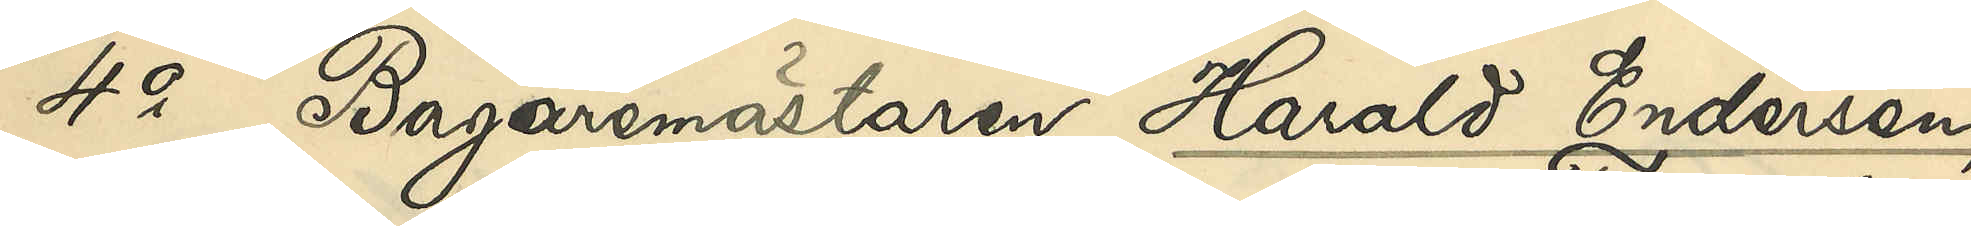4o Bagaremästaren Harald Endersen,
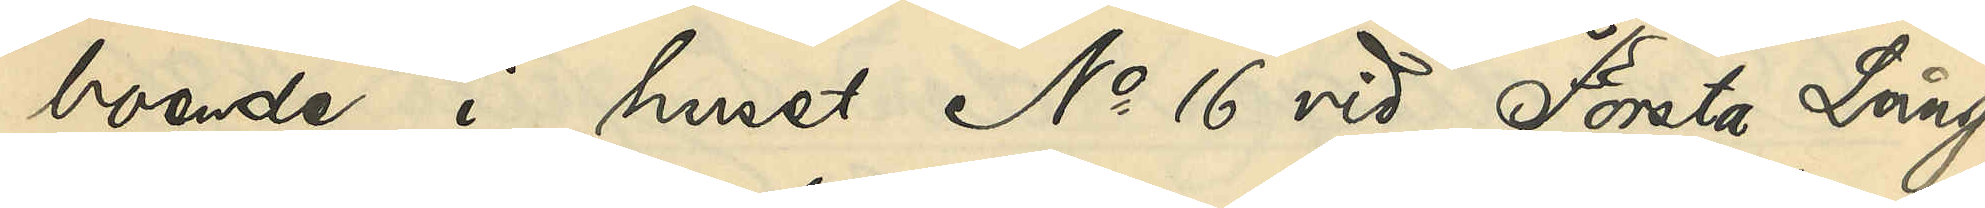boende i huset No 16 vid Första Lång¬
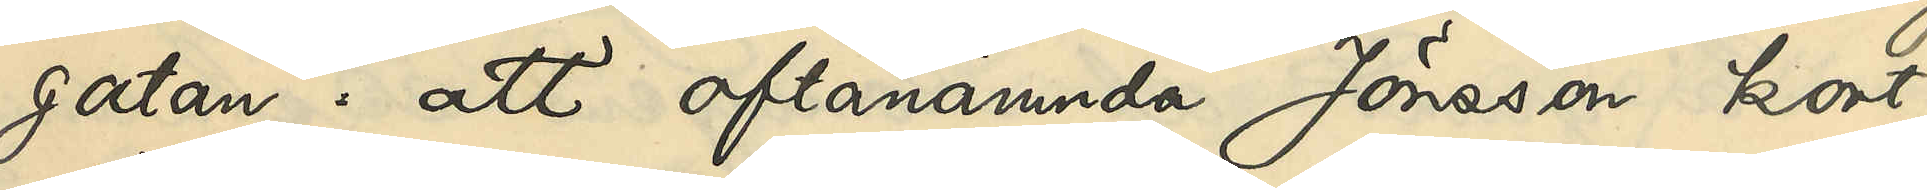gatan: att oftanämnda Jönsson kort
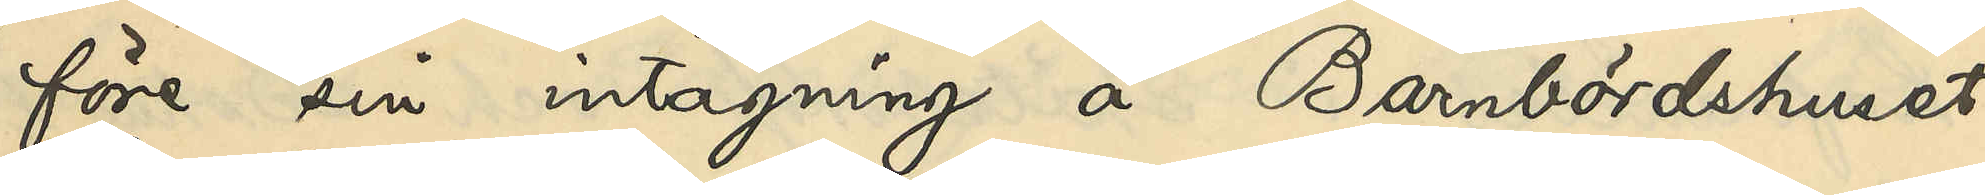före sin intagning å Barnbördshuset
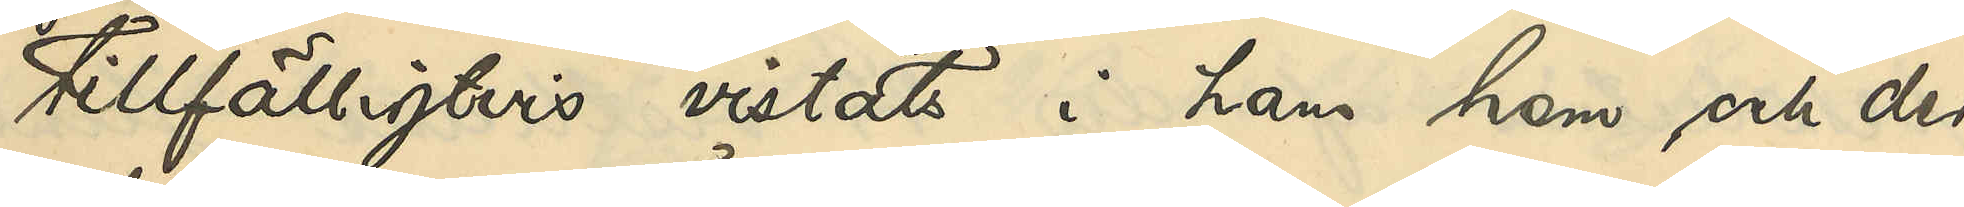tillfälligtvis vistats i hans hem, och der
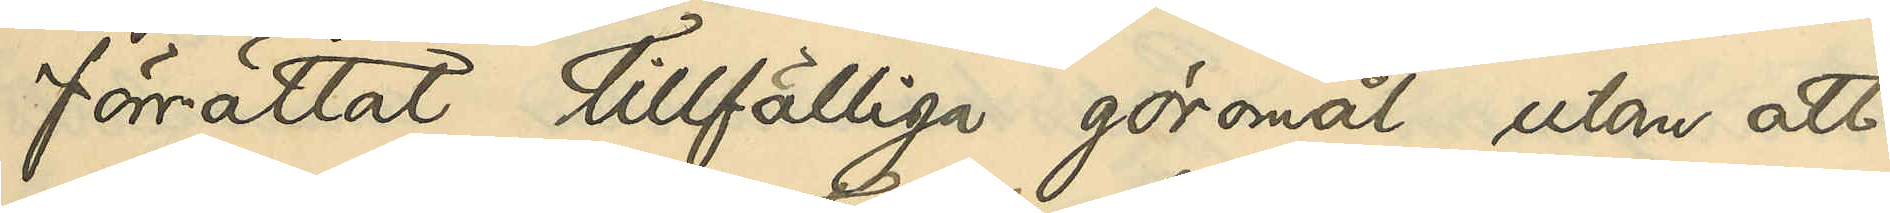förrättat tillfälliga göromål utan att
